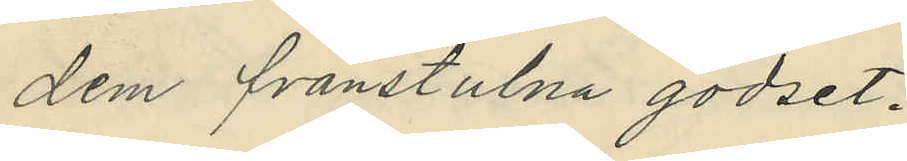dem frånstulna godset.
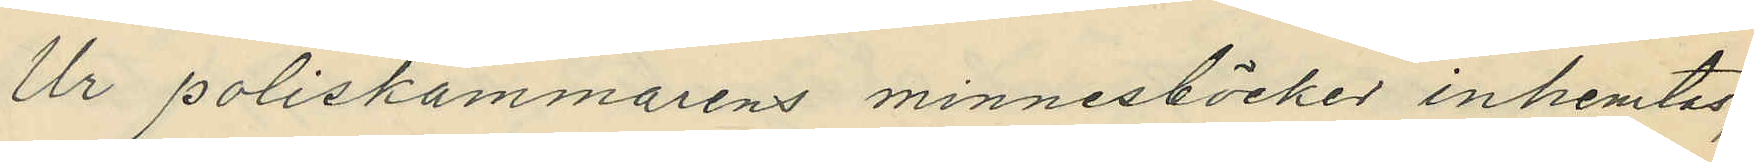Ur Poliskammarens minnesböcker inhemtas
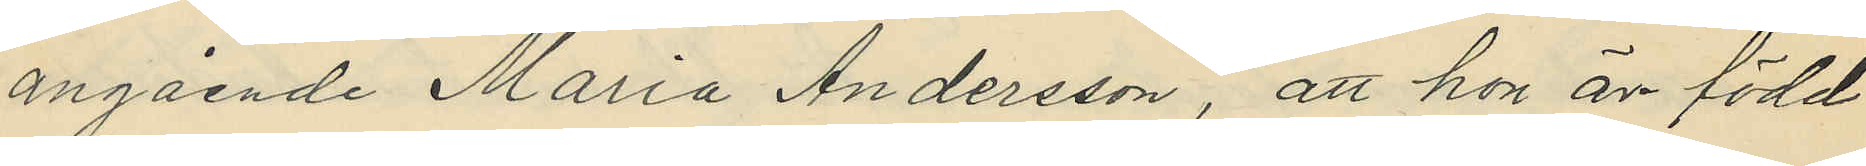angående Maria Andersson, att hon är född
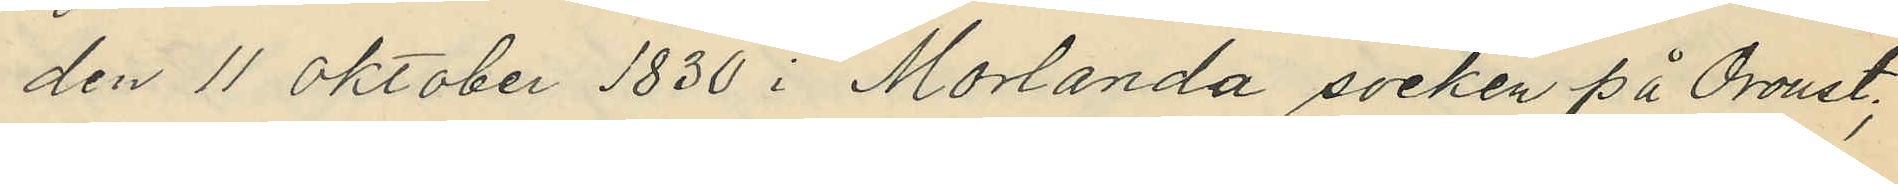den 11 Oktober 1830 i Morlanda socken på Oroust;
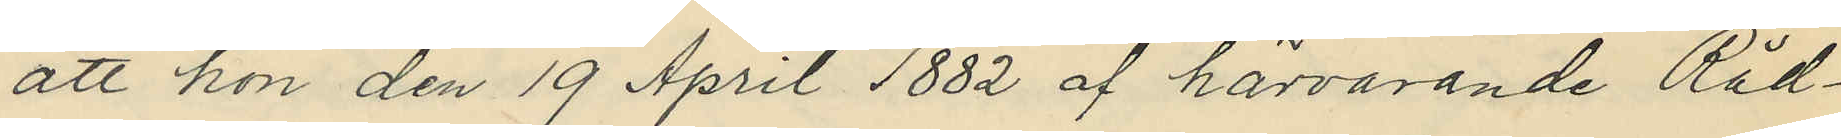att hon den 19 April 1882 af härvarande Råd¬
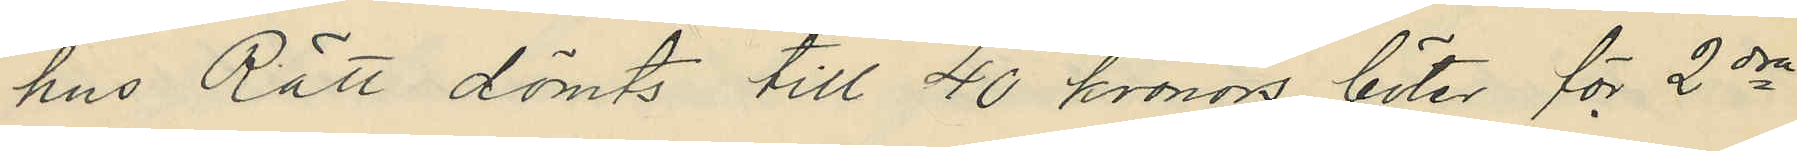hus Rätt dömts till 40 kronors böter för 2dra
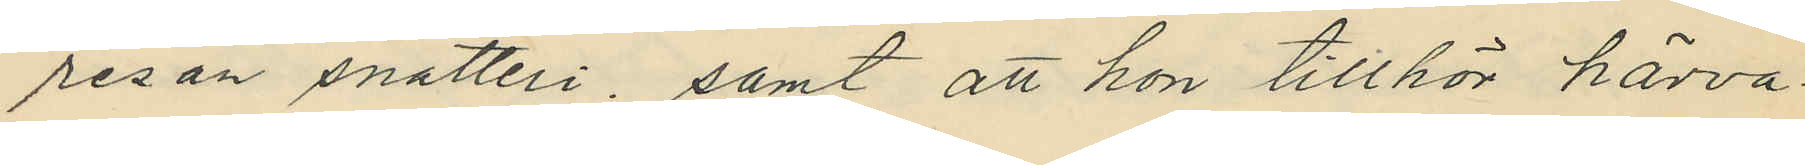resan snatteri, samt att hon tillhör härva¬
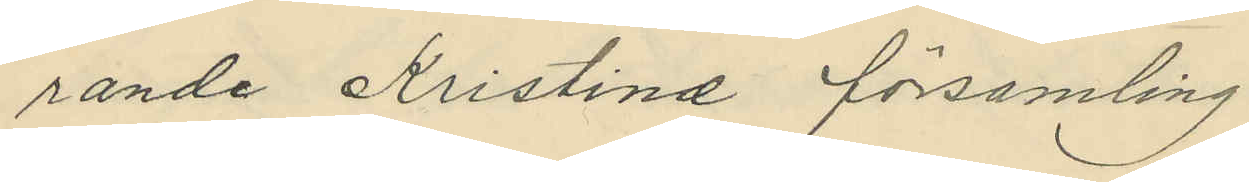rande Kristine församling.
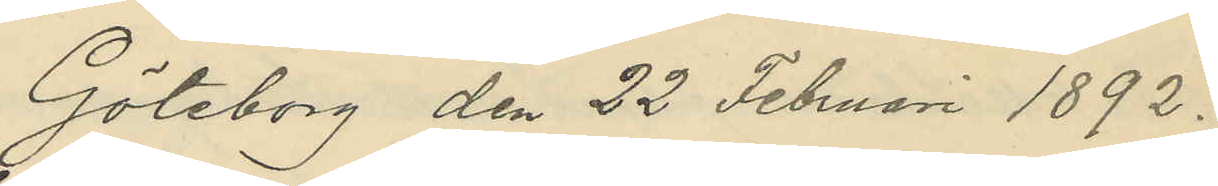Göteborg den 22 Februari 1892.
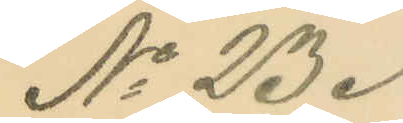No 23.
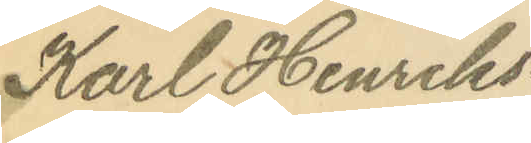Karl Henriks¬
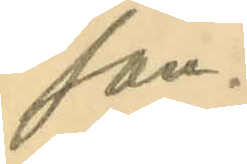son.
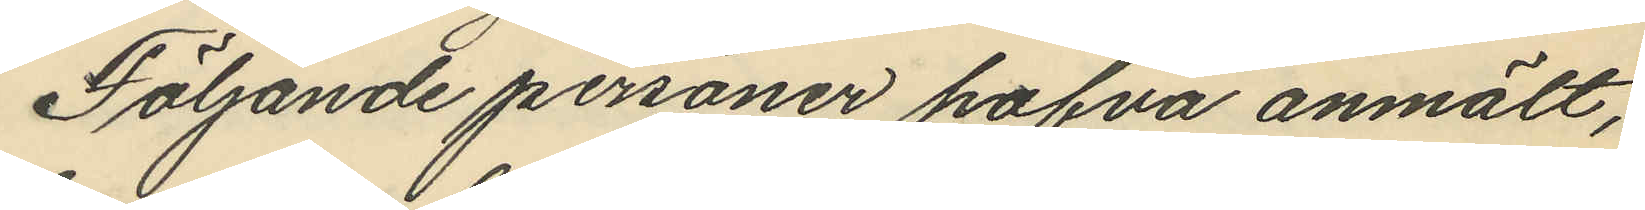Följande personer hafva anmält,
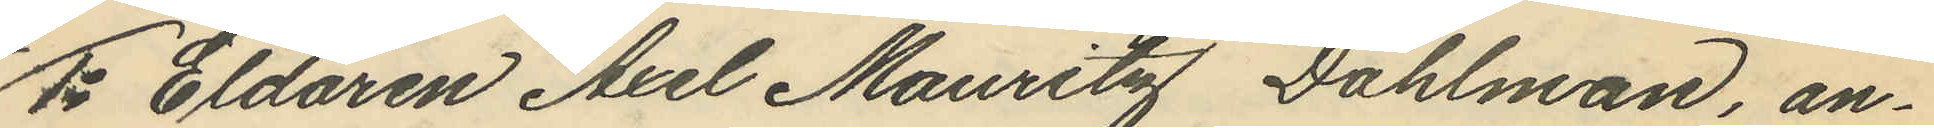1o Eldaren Axel Mauritz Dahlman, an¬
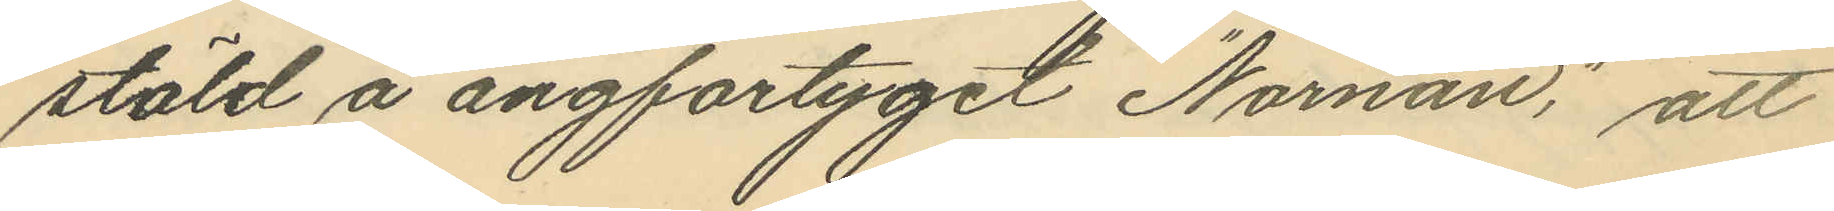stäld å ångfartyget "Nornan", att
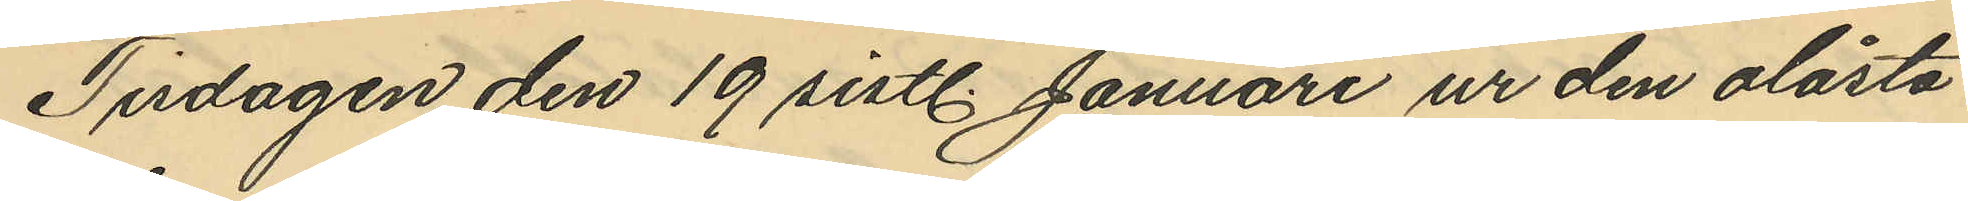Tisdagen den 19 sistl. Januari ur den olåsta
